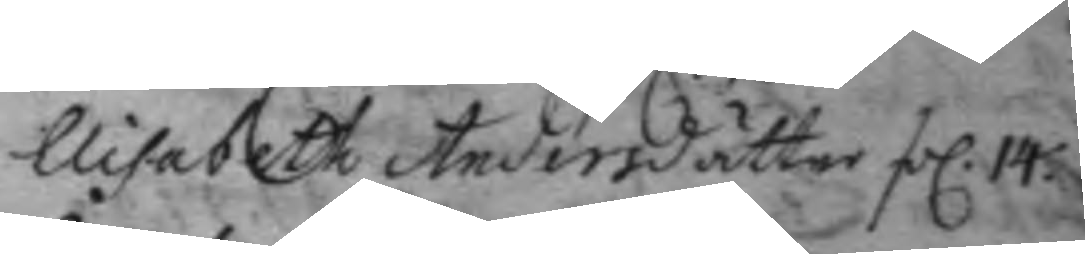Elisabeth Andersdåtter fol. 14.
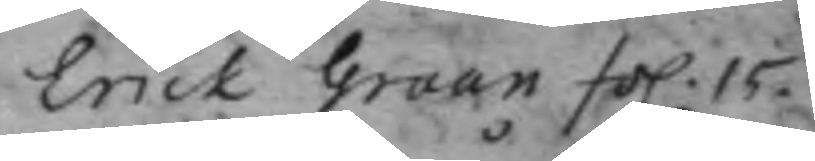Erick Graan fol. 15.
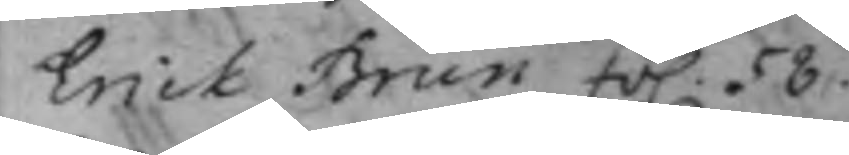Erik Brun fol. 58.
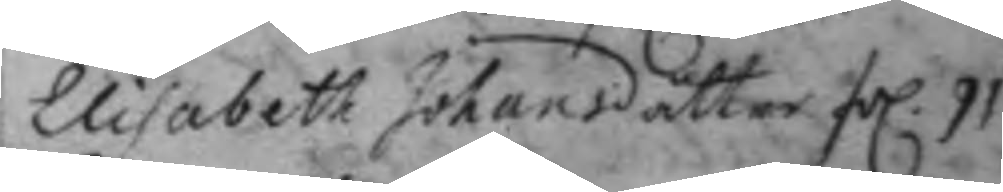Elisabeth Johansdåtter fol. 91.
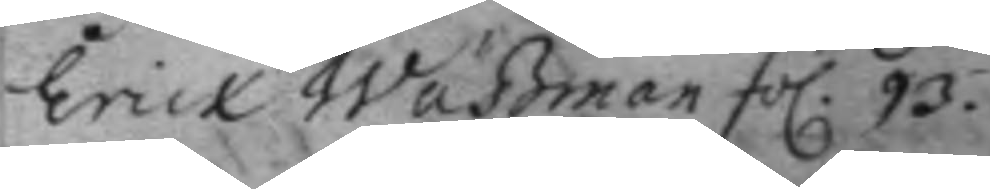erick Waßman fol. 93.
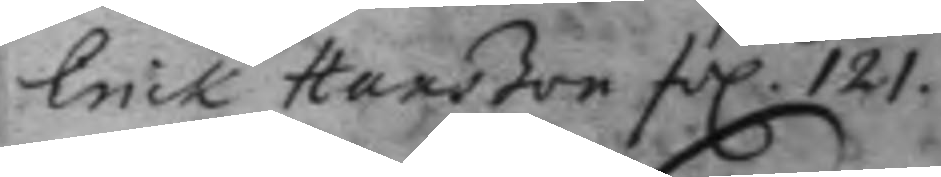Erick Hanßon fol. 121.
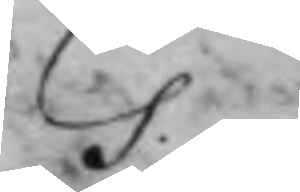G.
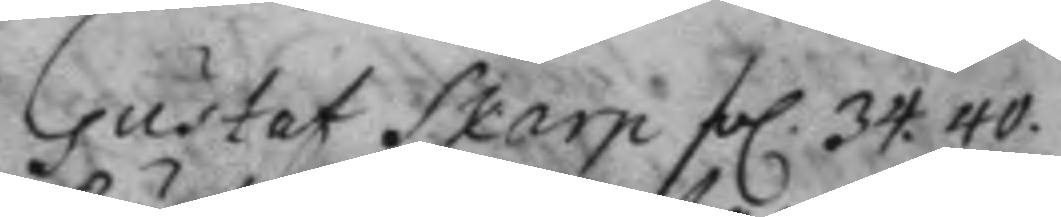Gustaf Skarp fol. 34. 40.
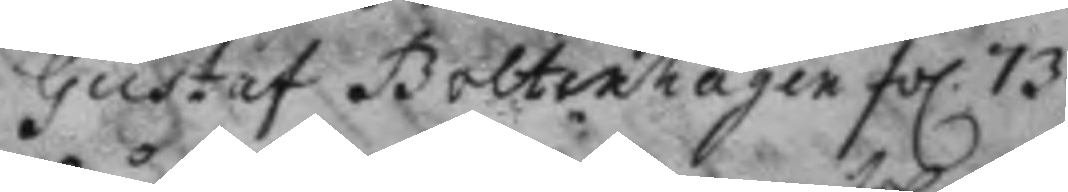Gustaf Bolterhager fol. 73.
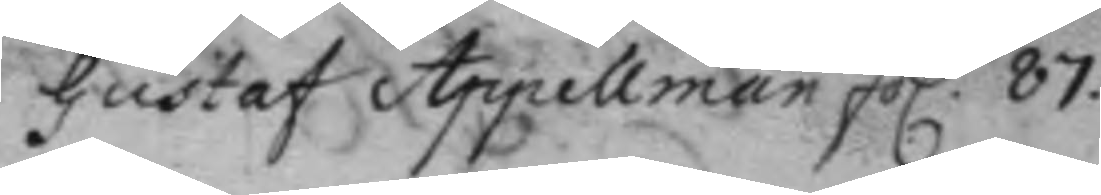Gustaf Appellman fol. 87.
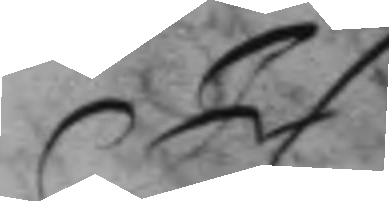H.
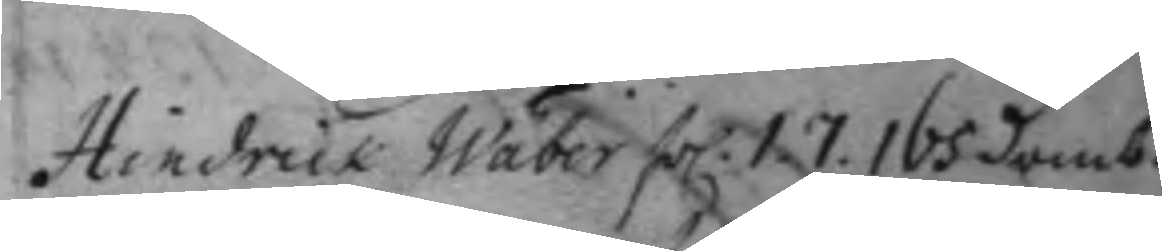Hindrick Wäber fol. 1. 7. 165 domb.
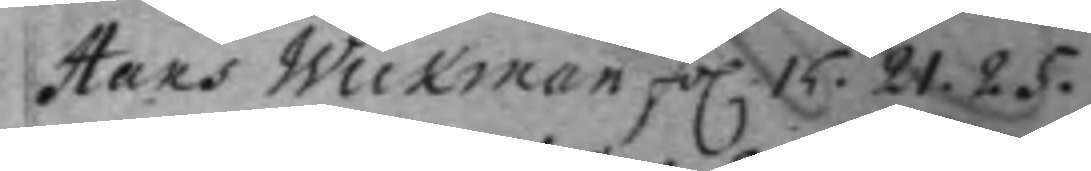Hans Wickman fol 15. 21. 25.
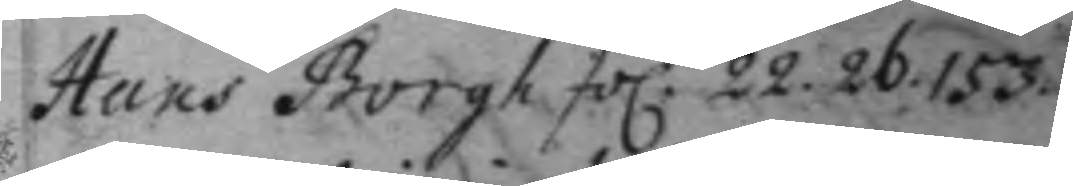Hans Borgh fol 22. 26. 153.
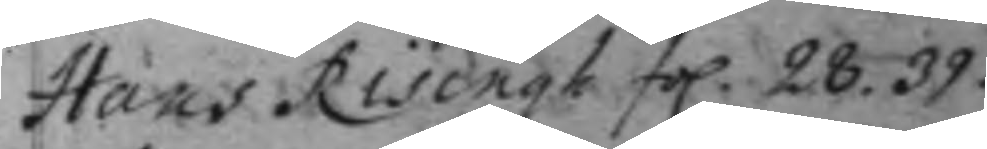Hans Risingh fol. 28. 39.
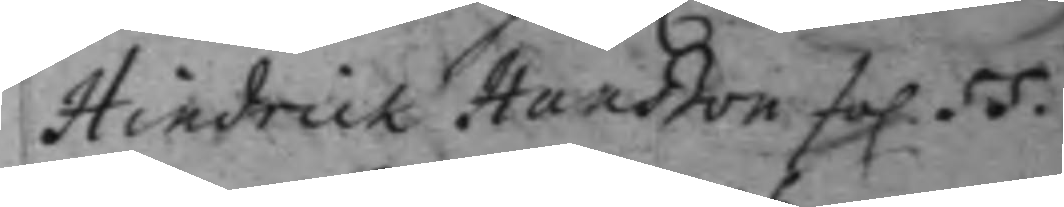Hindrick Hanßon fol. 55.
